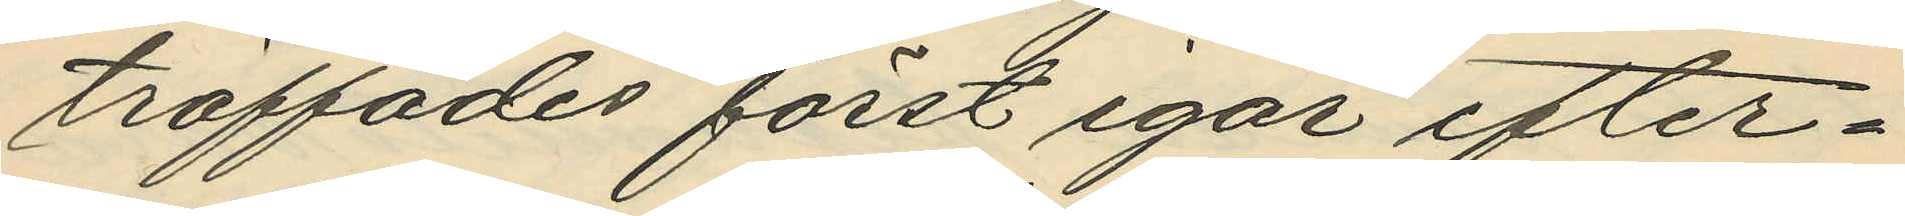träffades först igår efter¬
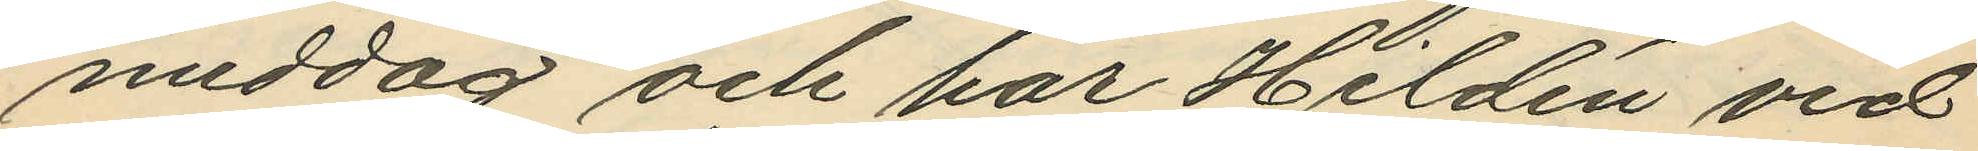middag och har Hildén vid
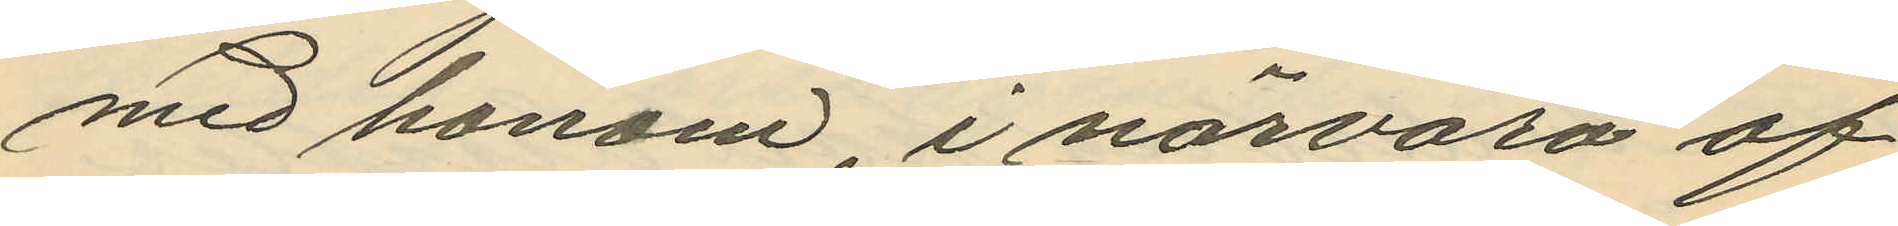med honom, i närvaro af
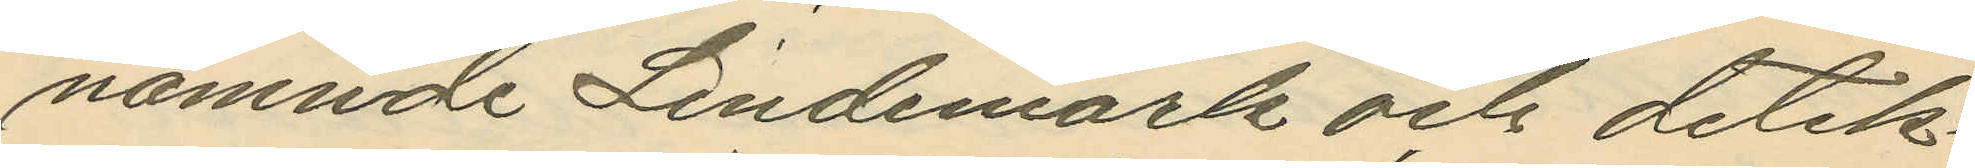nämnde Lindemark och detek¬
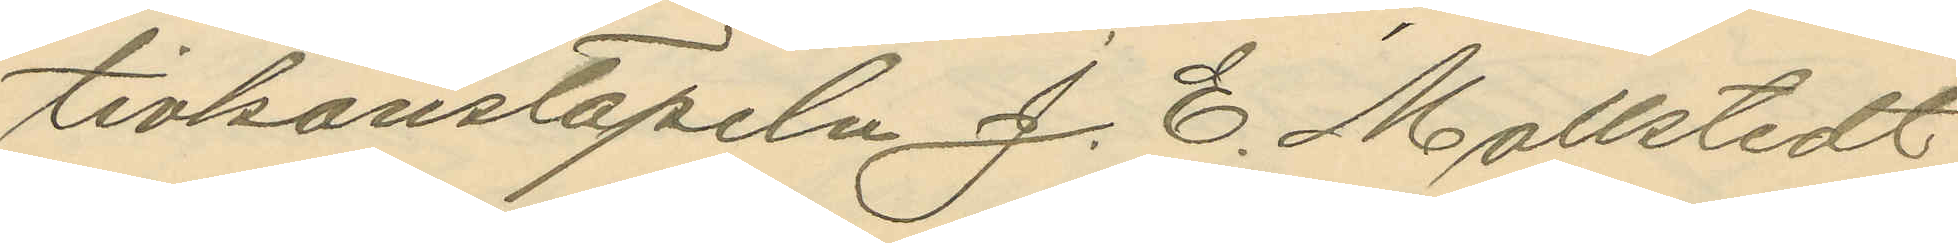tivkonstapeln J. E. Mollstedt
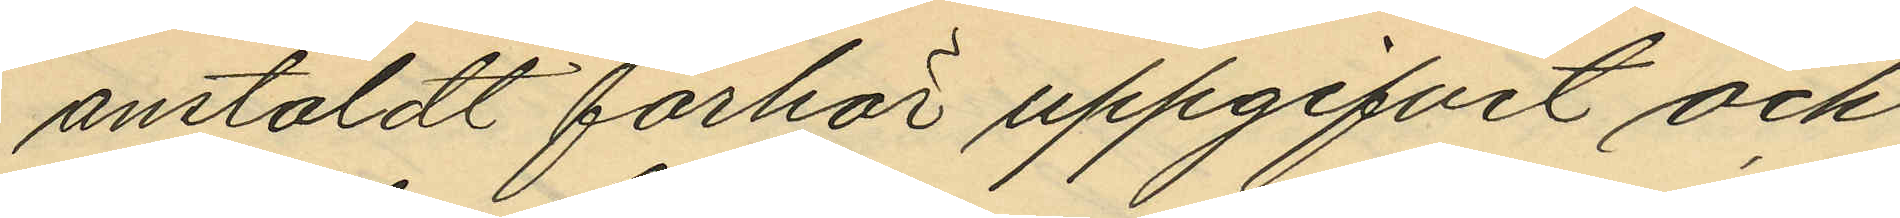anstäldt förhör uppgifvit och
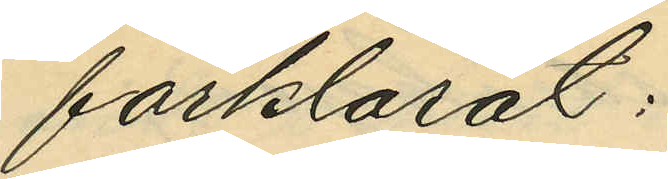förklarat:
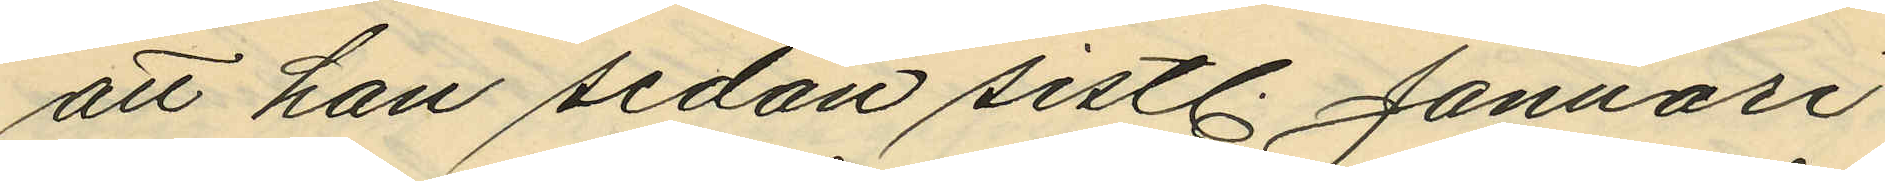att han sedan sistl. Januari
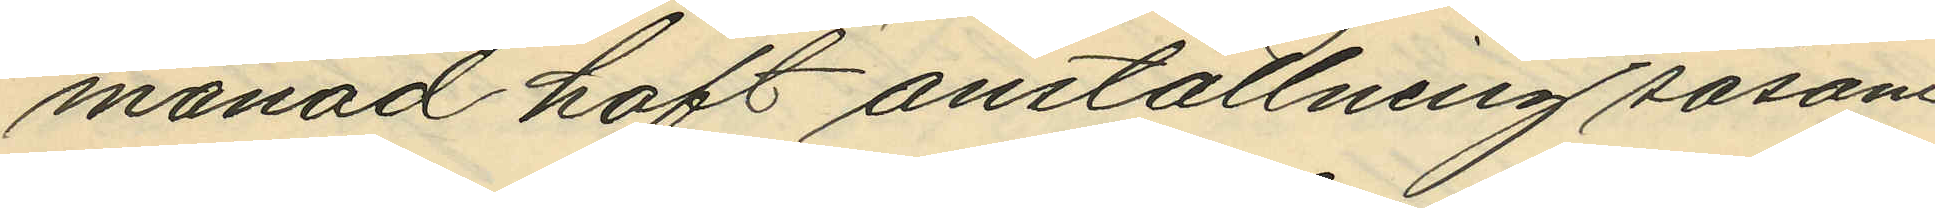manad haft anställning såsom
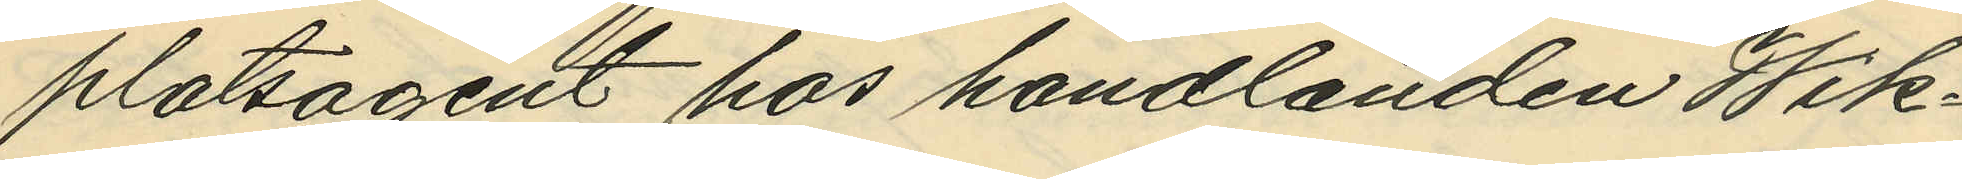platsagent hos handlanden Wik¬
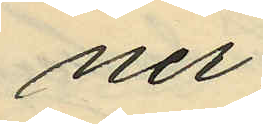ner;
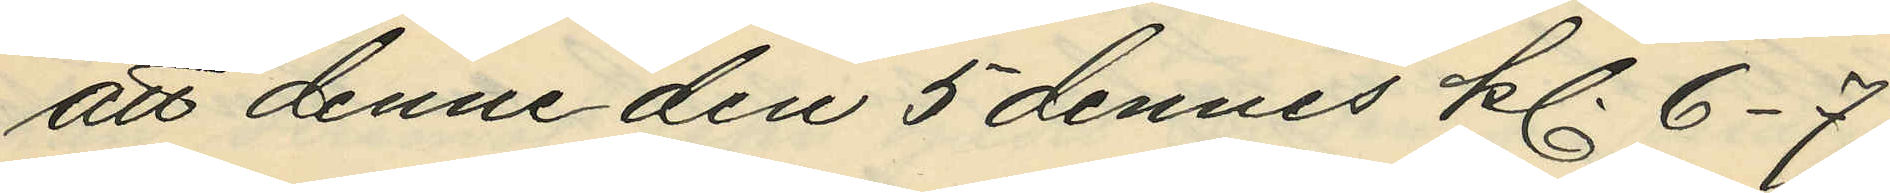att denne den 5 dennes kl. 6-7
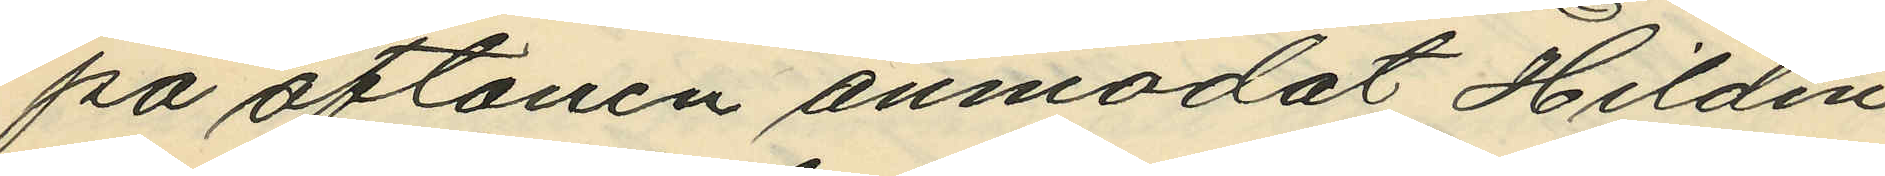på aftonen anmodat Hildén
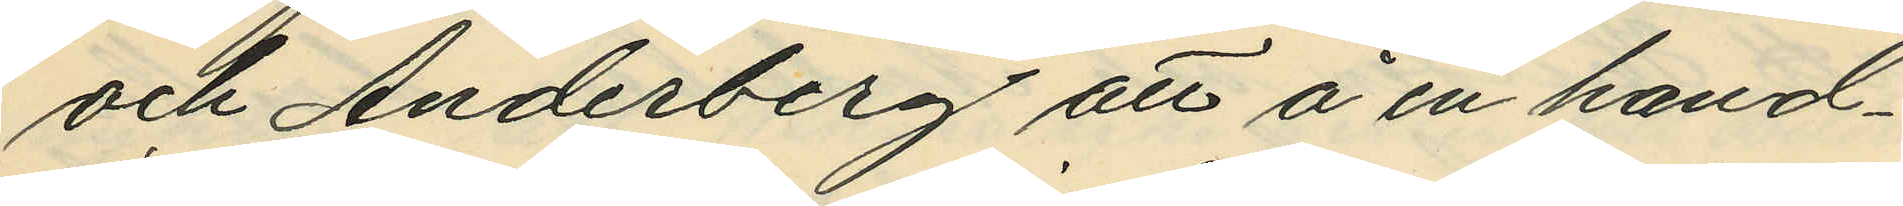och Anderberg att å en hand¬
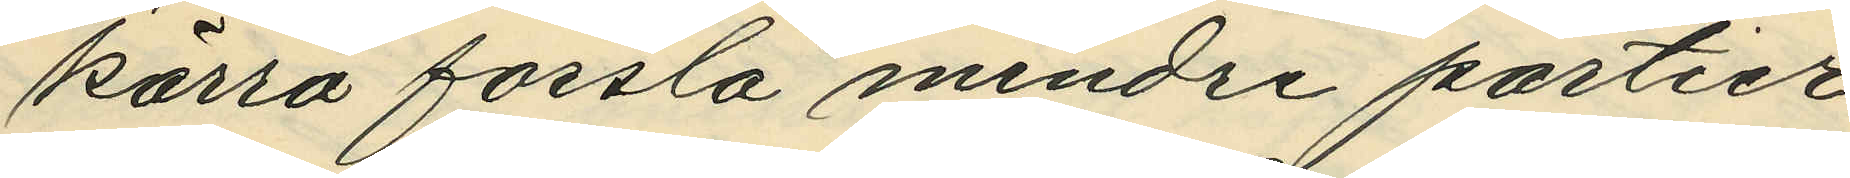kärra forsla mindre partier
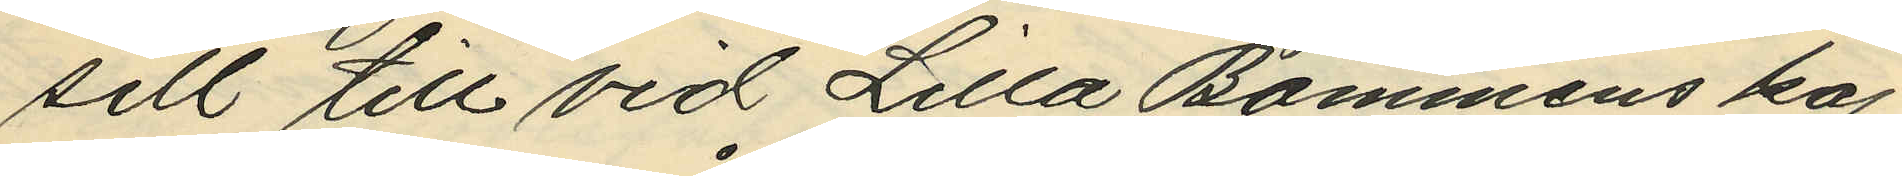sill till vid Lilla Bommens kaj
